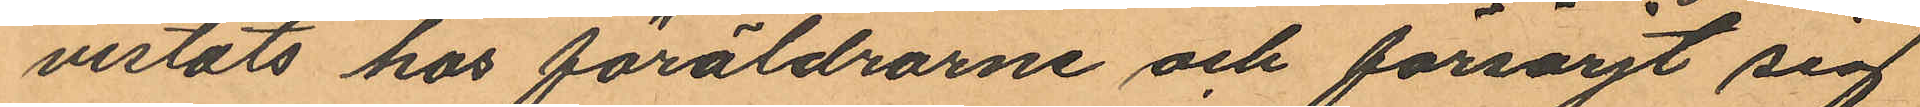vistats hos föräldrarne och försörjt sig
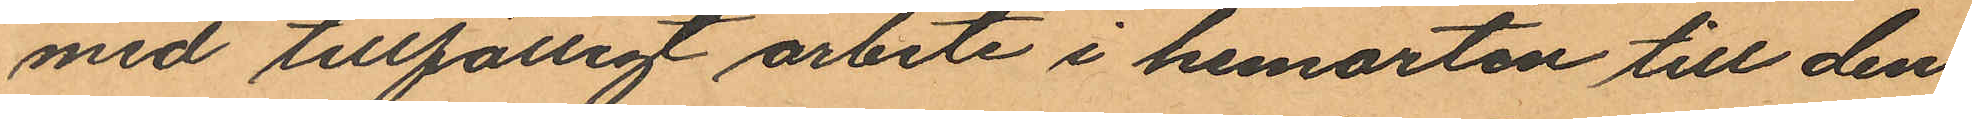med tillfälligt arbete i hemorten till den
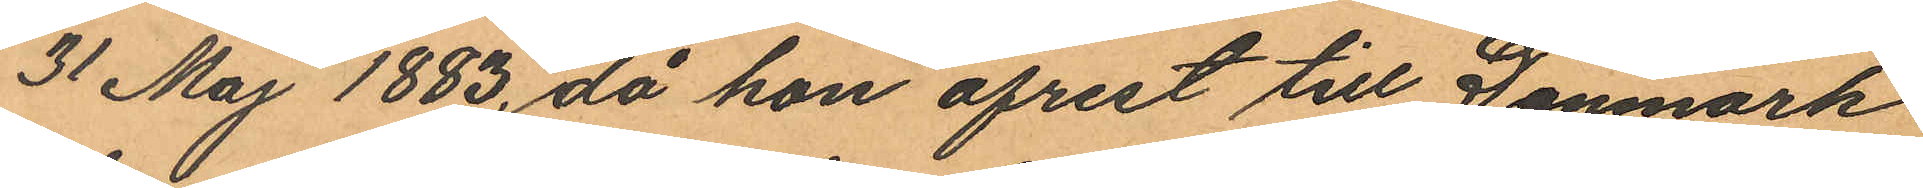31 Maj 1883, då hon afrest till Danmark
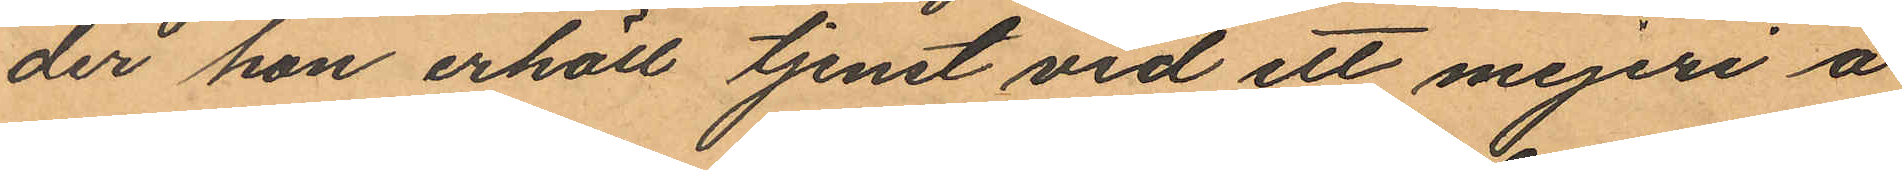der hon erhöll tjenst vid ett mejeri å
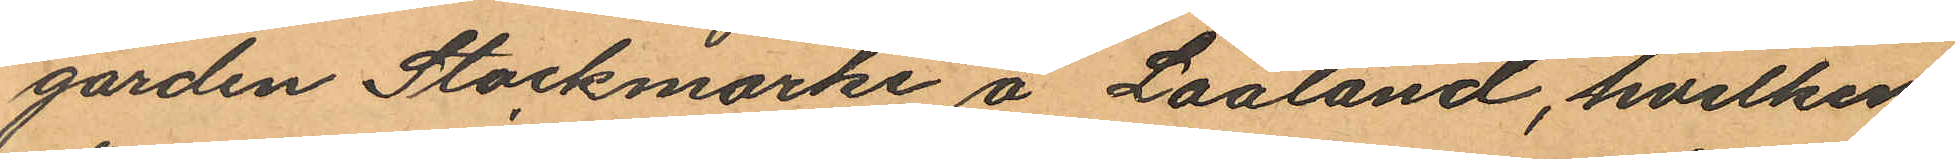gården Stockmarke å Laaland, hvilken
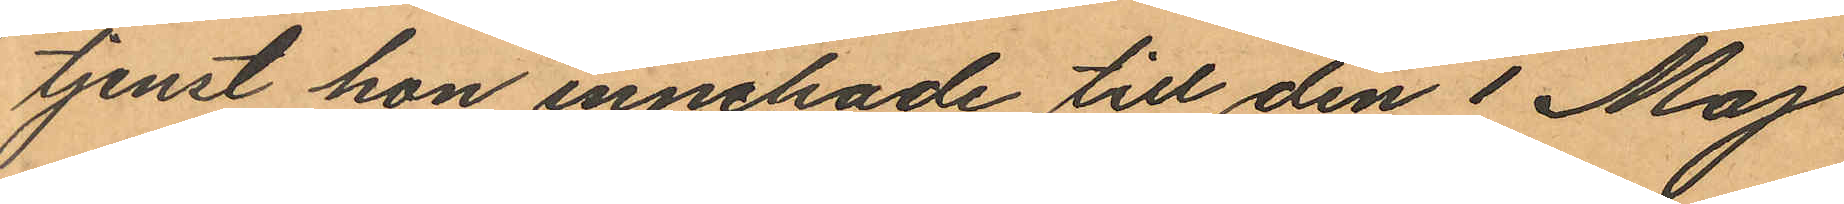tjenst hon innehade till den 1 Maj
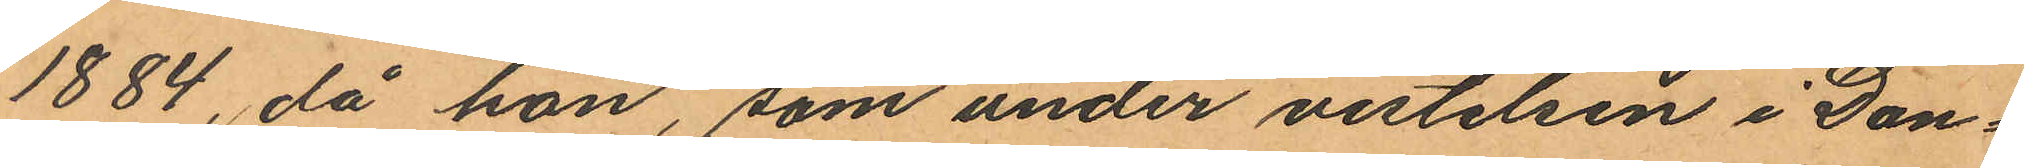1884, då hon, som under vistelsen i Dan¬
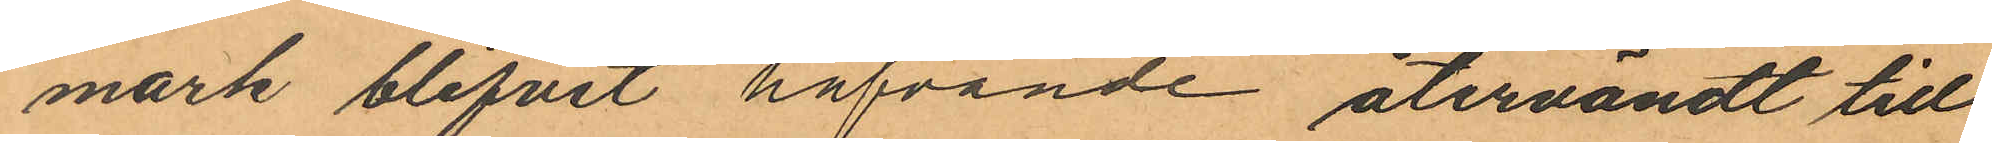mark blifvit hafvande återvändt till
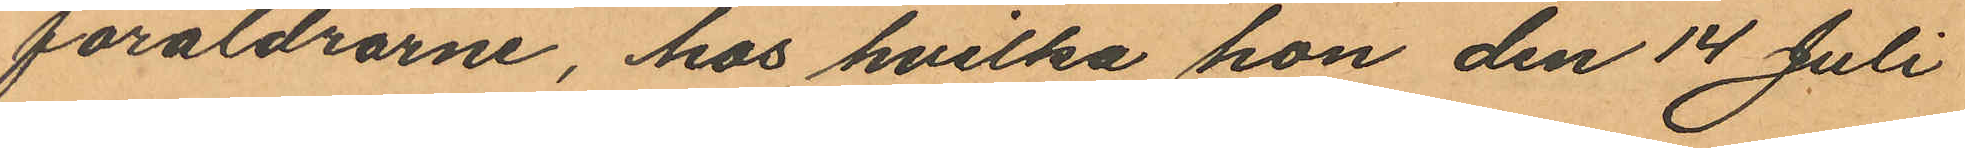föräldrarne, hos hvilka hon den 14 Juli
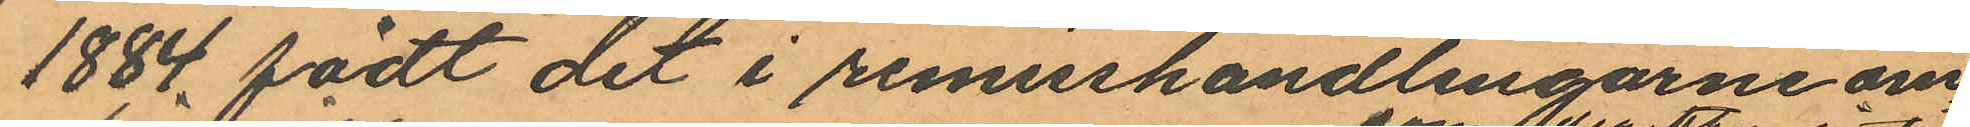1884 födt det i remisshandlingarne om¬
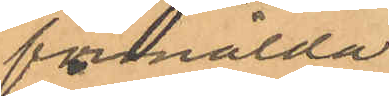förmälda
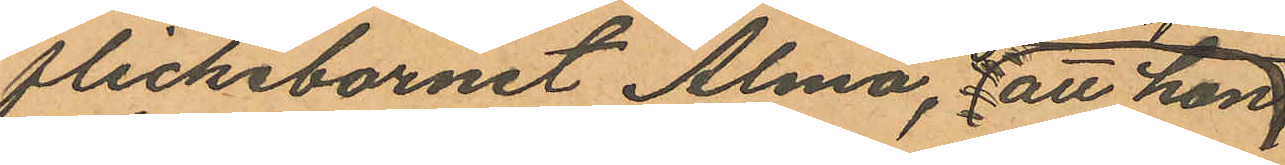flickebarnet Alma, att hon
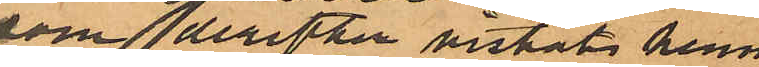som derefter vistats hemma
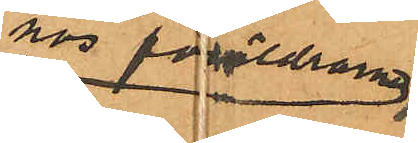hos föräldrarna
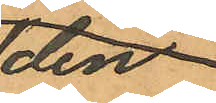den
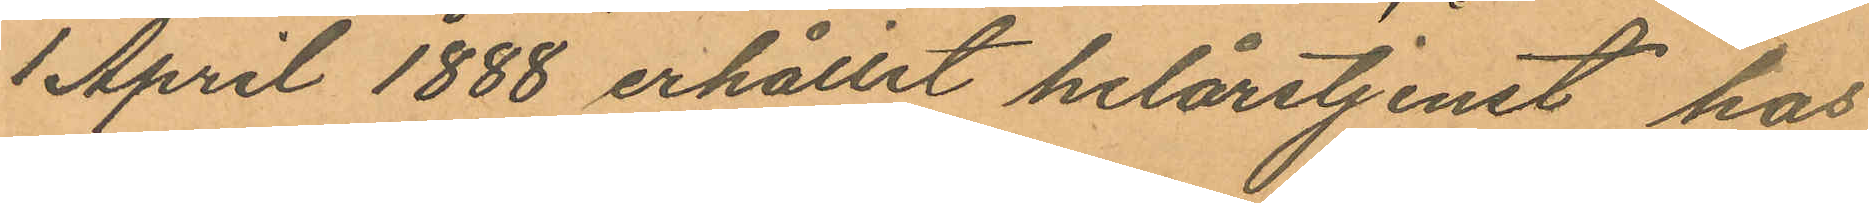1 April 1888 erhållit helårstjenst hos
